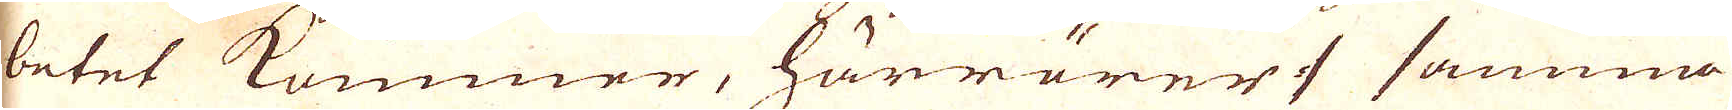betet kommer, härrörer :/ samma
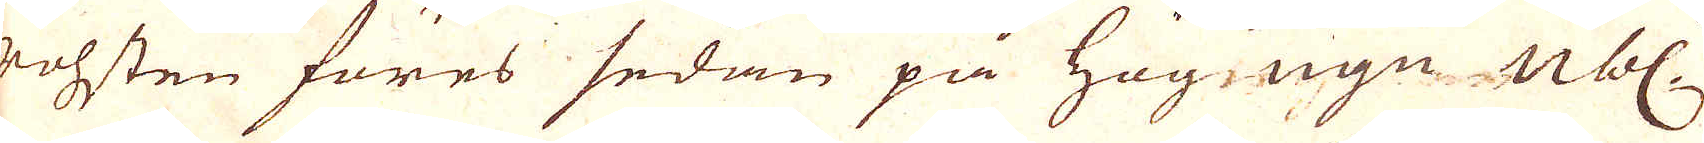rohsten föres sedan på hög ugn nbl.
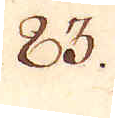83.
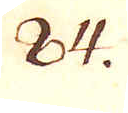84.
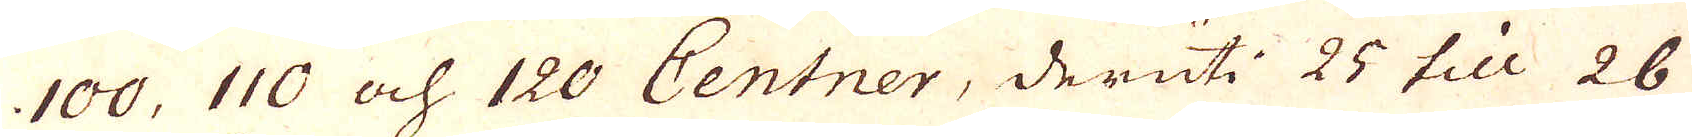100, 110 och 120 Centner, deruti 25 till 26
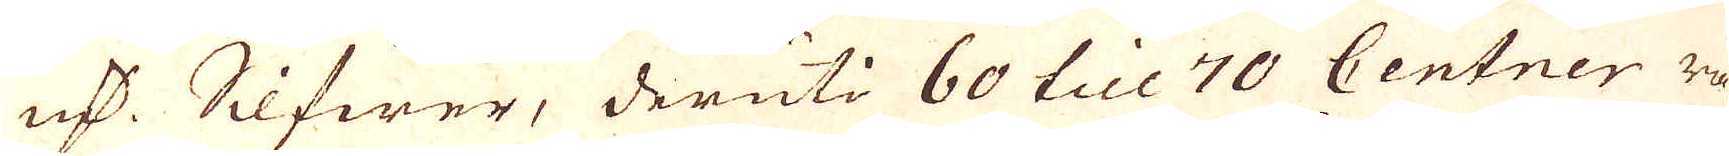qv:r Silfwer, deruti 60 till 70 Centner rå-
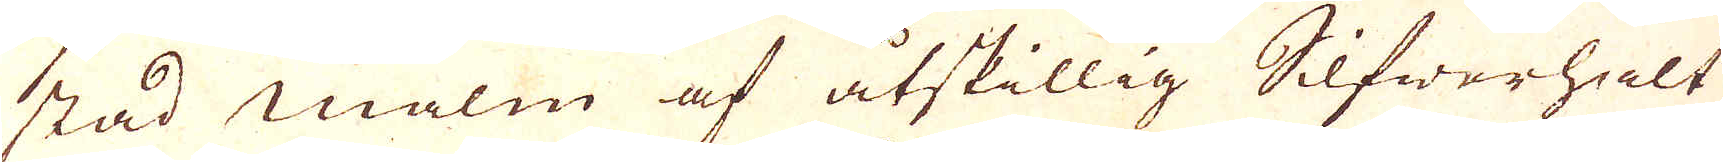stad malm af åtskillig Silfwerhalt,
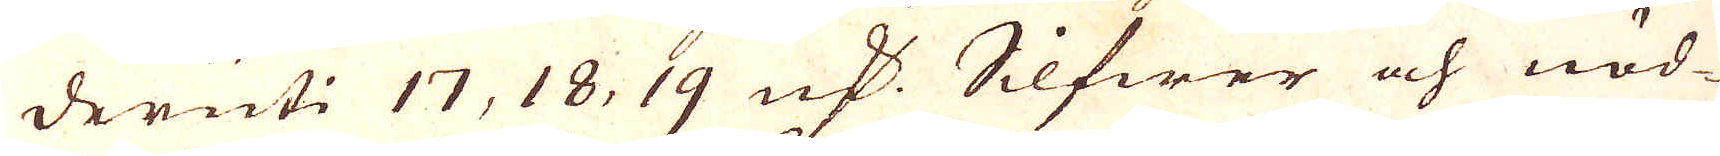deruti 17, 18, 19 qv:r Silfwer och nöd-
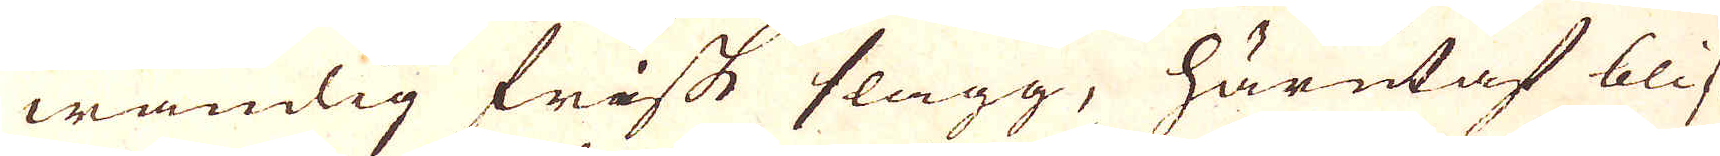wändig frisk slagg, härutaf blif-
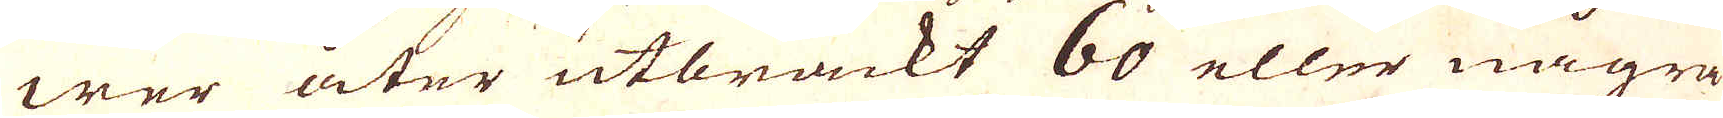wer åter utbräckt 60 eller några
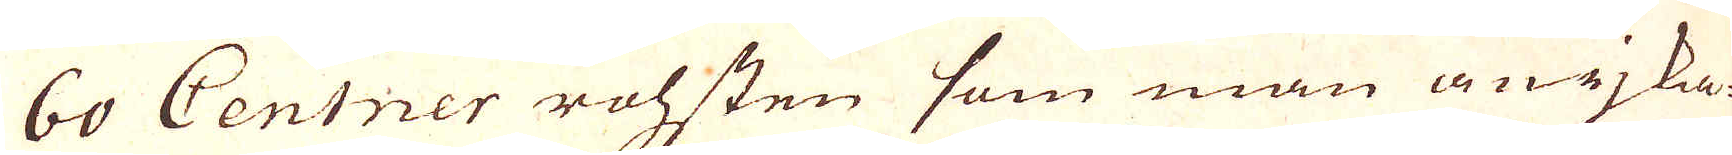60 Centner rohsten som man anrjka-
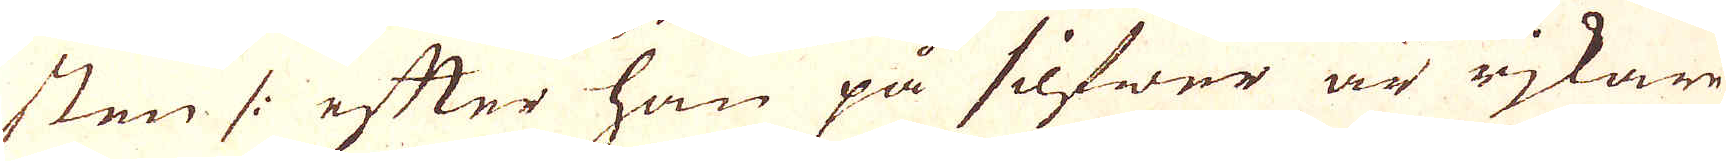sten /: efter han på silfwer är rjkare
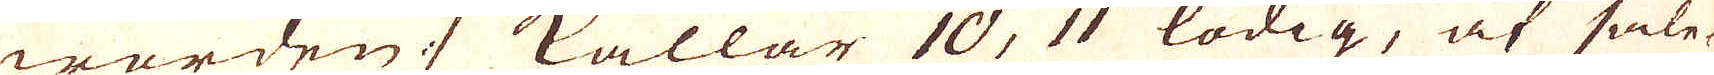warden :/ kallar 10, 11 lödig, af såle-
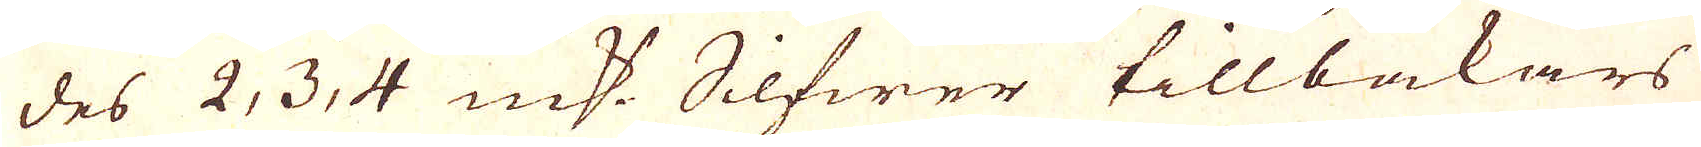des 2, 3, 4 qv:r Silfwer tillbakars
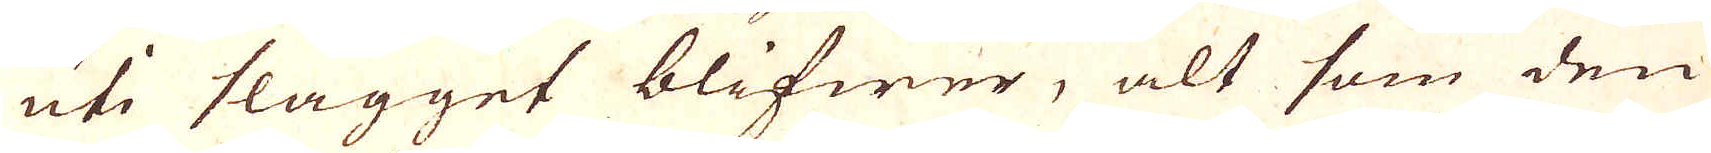uti slagget blifwer, alt som den
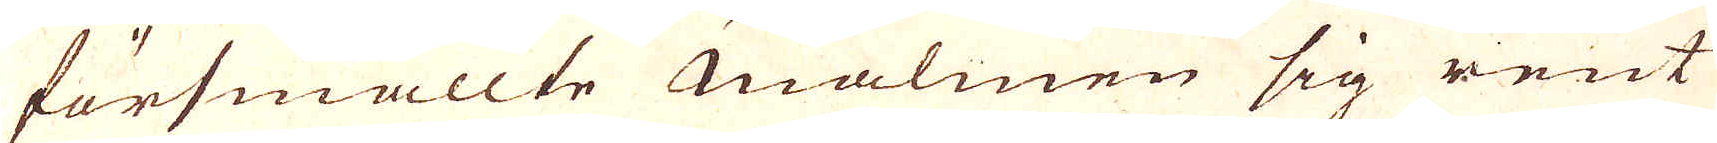försmällte malmen sig rent
